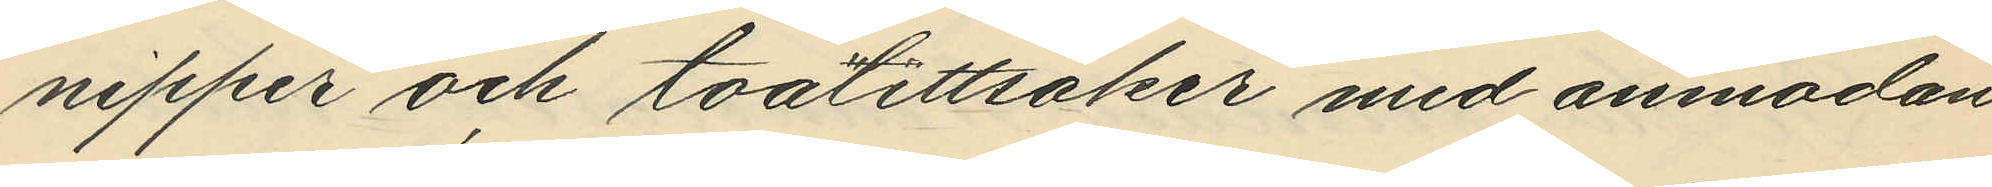nipper och toalettsaker med anmodan
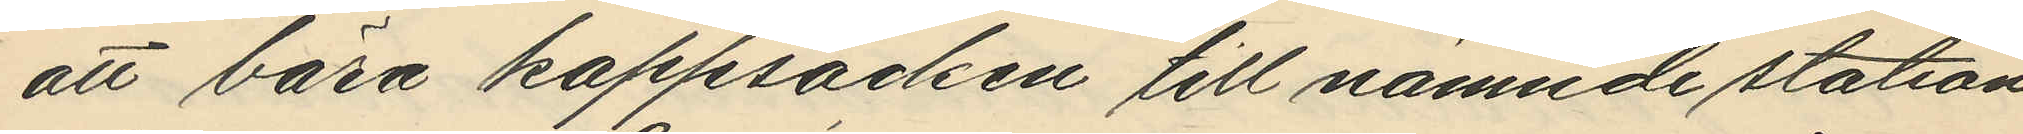att bära kappsäcken till nämnde station
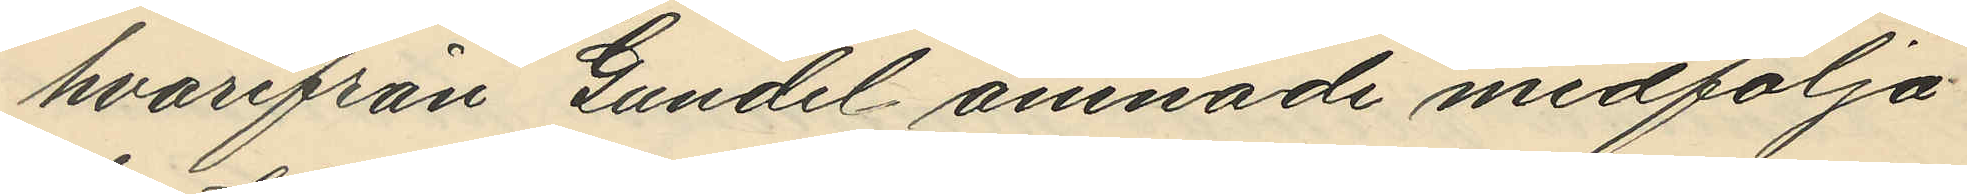hvarifrån Gundel ämnade medfölja
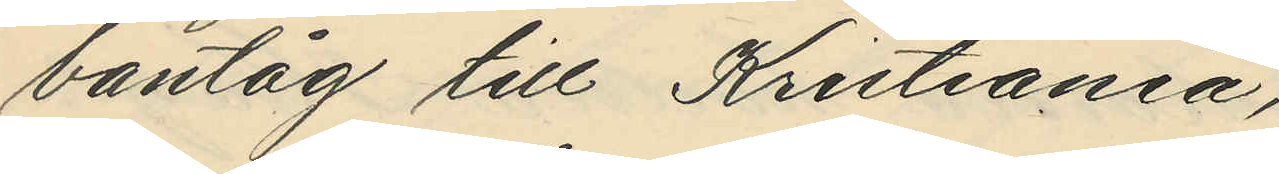bantåg till Kristiania,
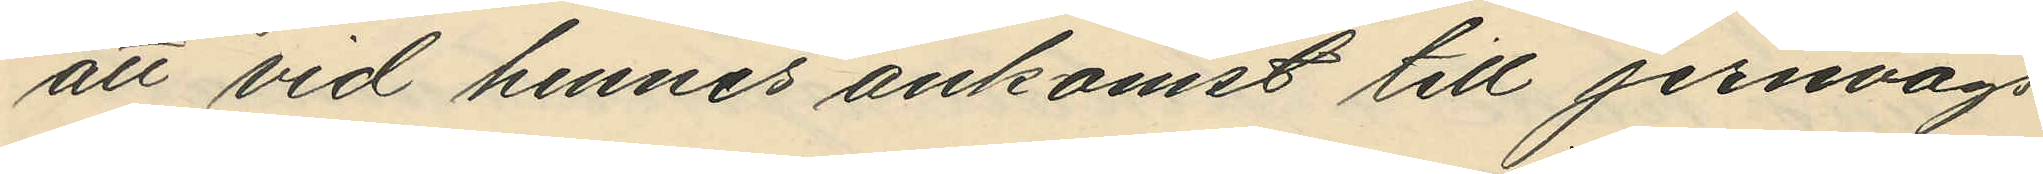att vid hennes ankomst till jernvägs¬
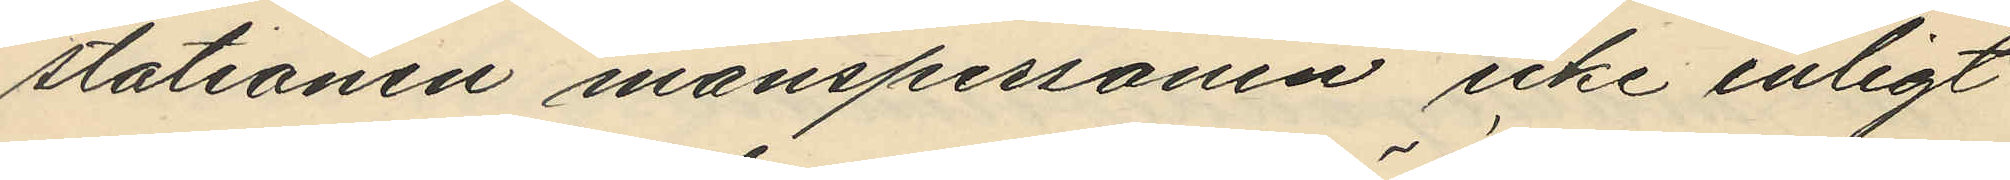stationen manspersonen icke enligt
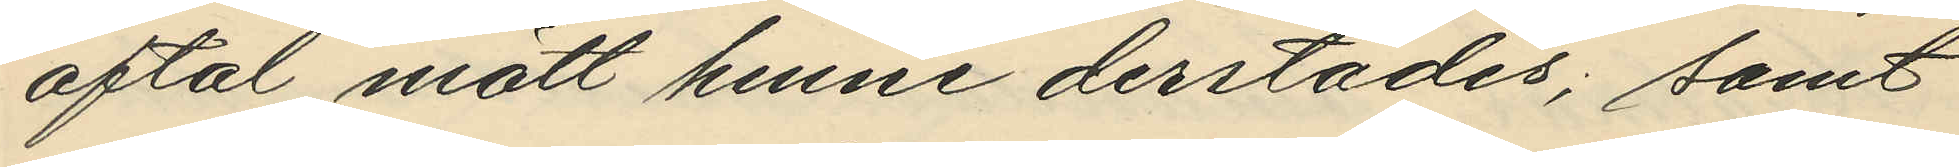aftal mött henne derstädes, samt
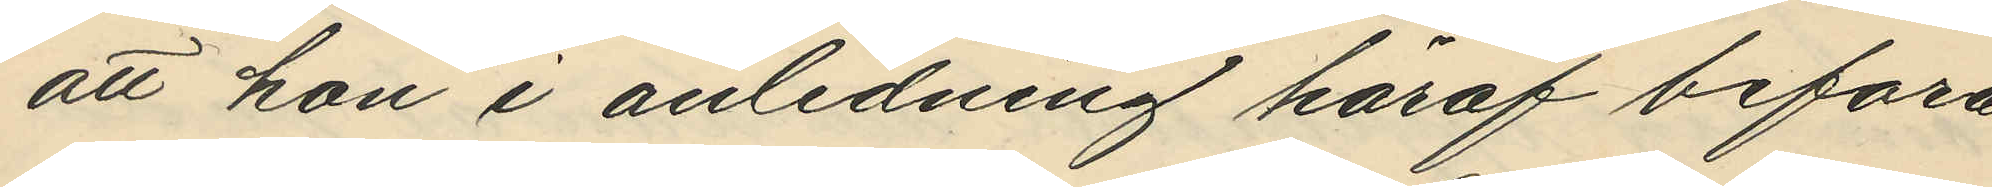att hon i anledning häraf befara¬
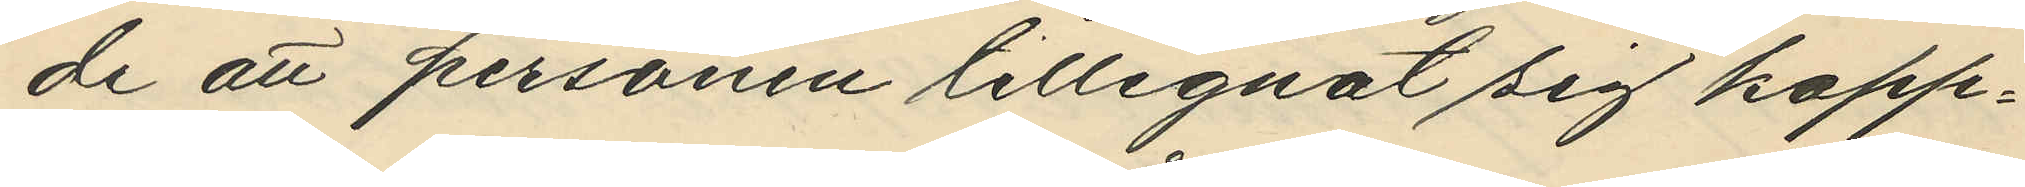de att personen tillegnat sig kapp¬
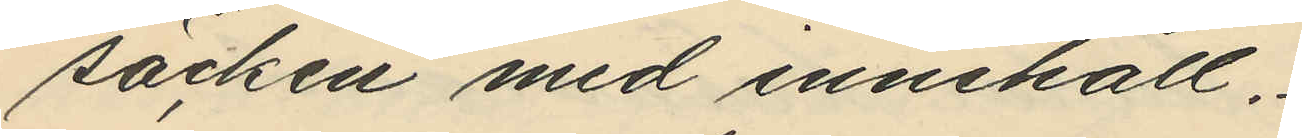säcken med innehåll.
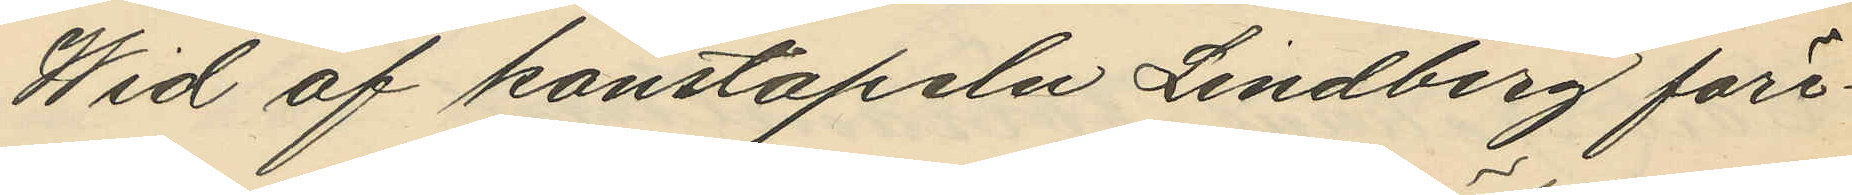Wid af konstapeln Lindberg före¬
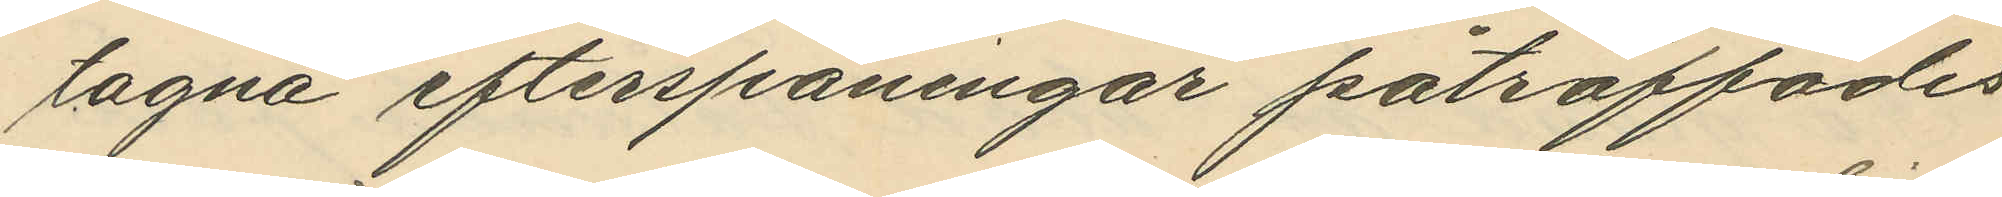tagna efterspaningar påträffades
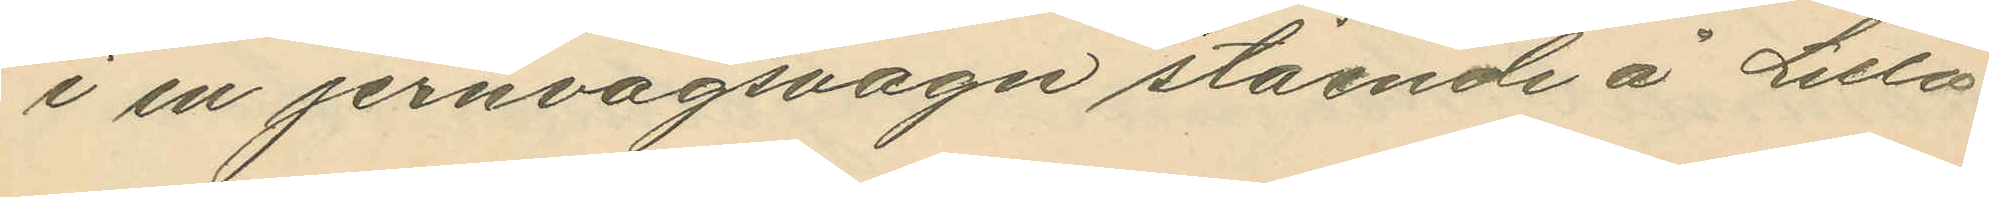i en jernvägsvagn stående å Lilla
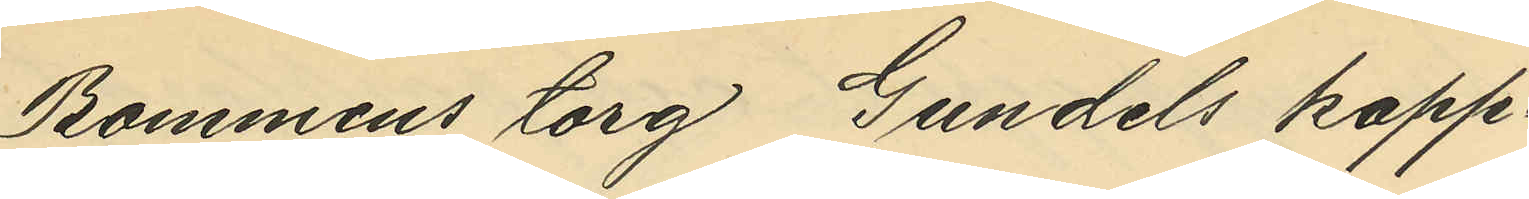Bommens torg Gundels kapp¬
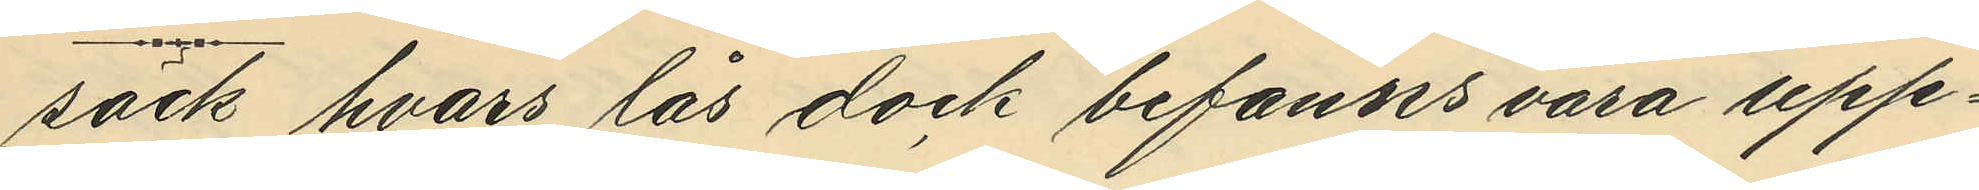säck hvars lås dock befanns vara upp¬
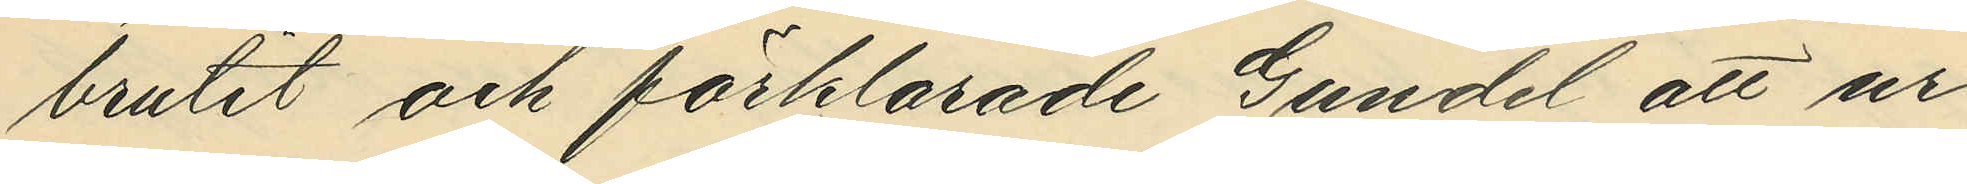brutit och förklarade Gundel att ur
